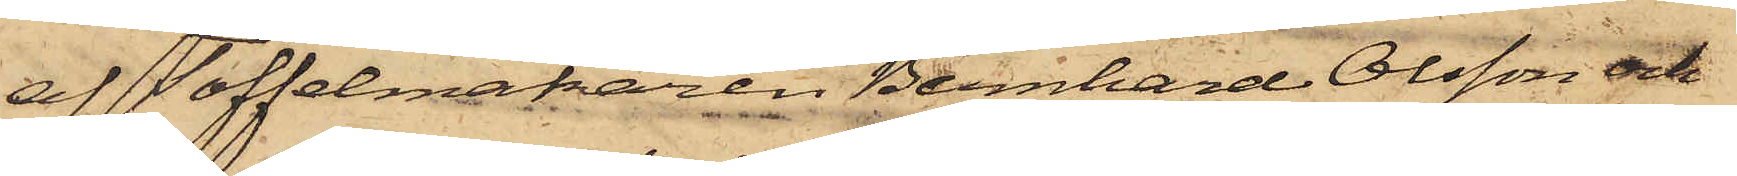af Toffelmakaren Bernhard Olsson och
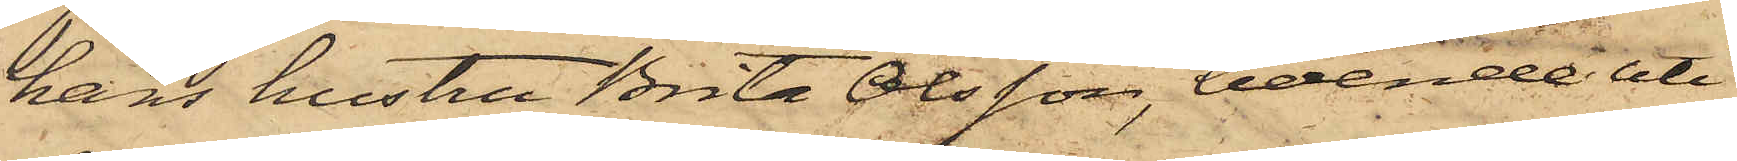hans hustru Brita Olsson, boende uti
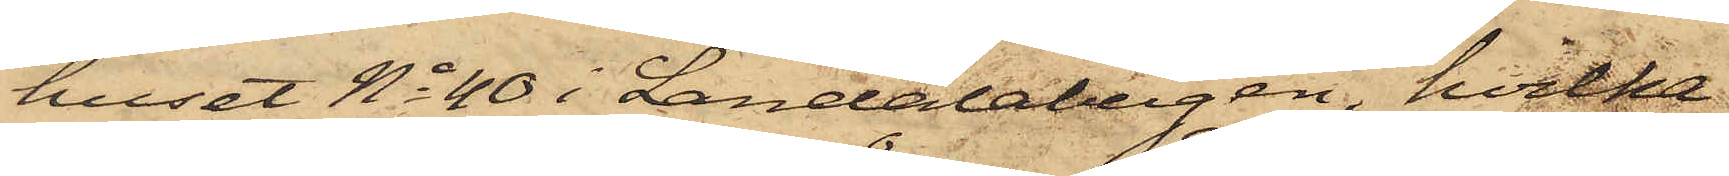huset No 40 i Landalabergen, hvilka
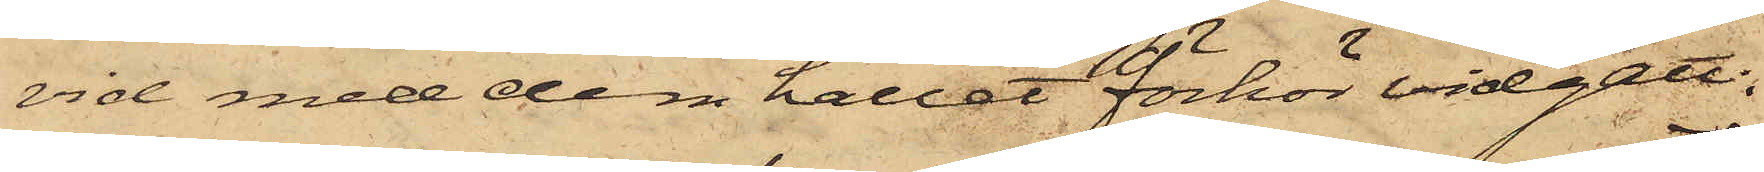vid med dem hållet förhör vidgått:
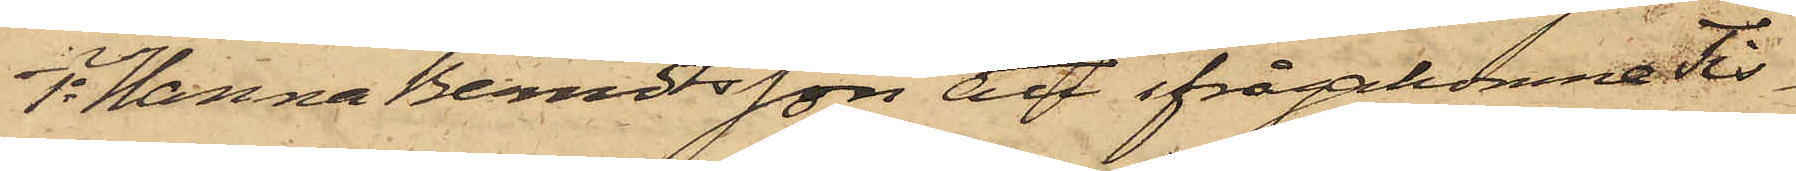1o Hanna Berndtsson att ifrågakomne Tis¬
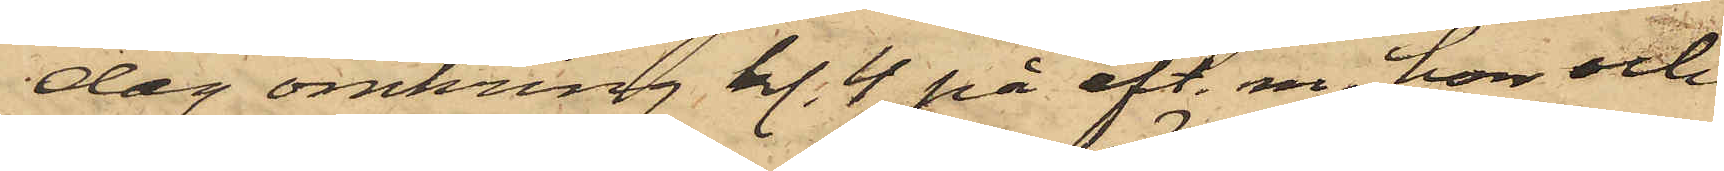dag omkring kl. 4 på eft. m. hon och
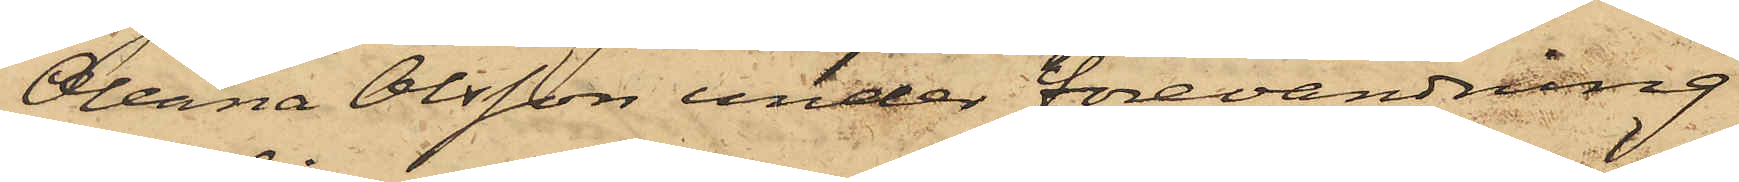Oleana Olsson under förevändning
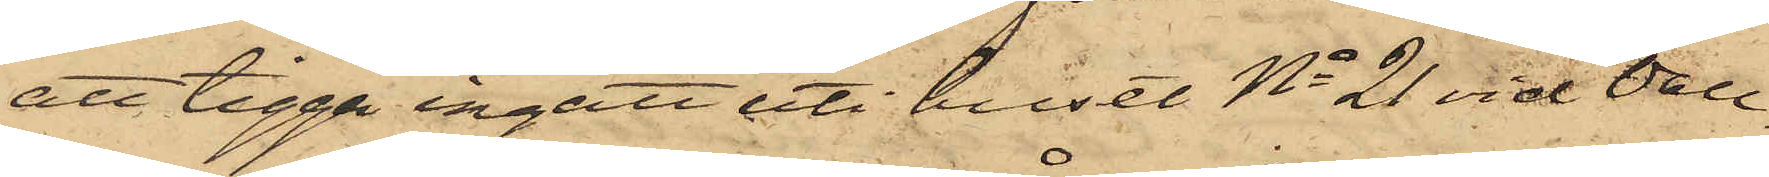att tigga ingått uti huset No 21 vid Vall¬
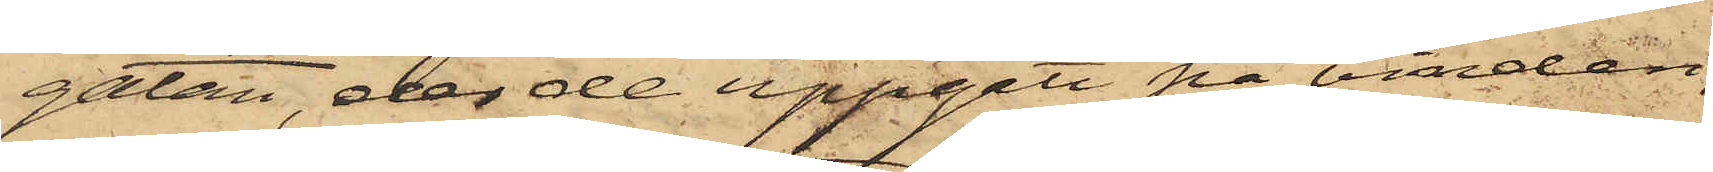gatan, der de uppgått på vinden,
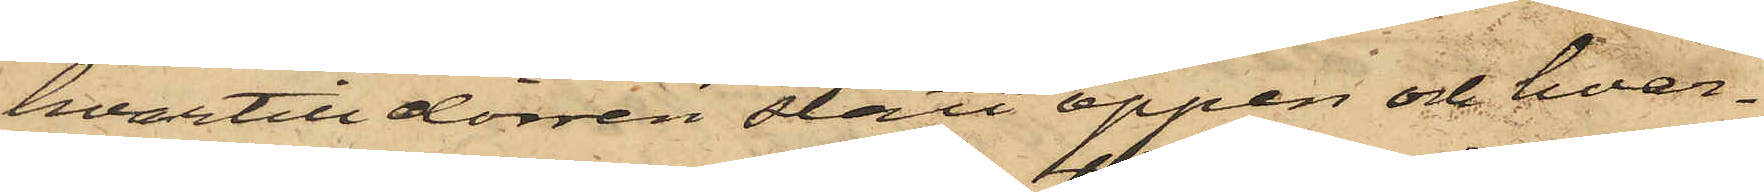hvartill dörren stått öppen och hvar¬
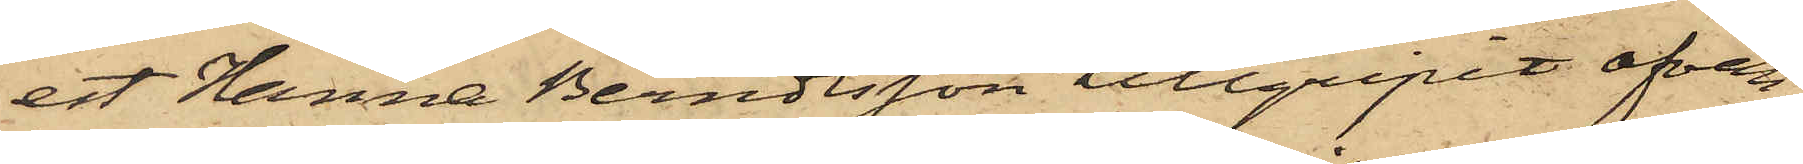est Hanna Berndtsson tillgripit ofvan¬
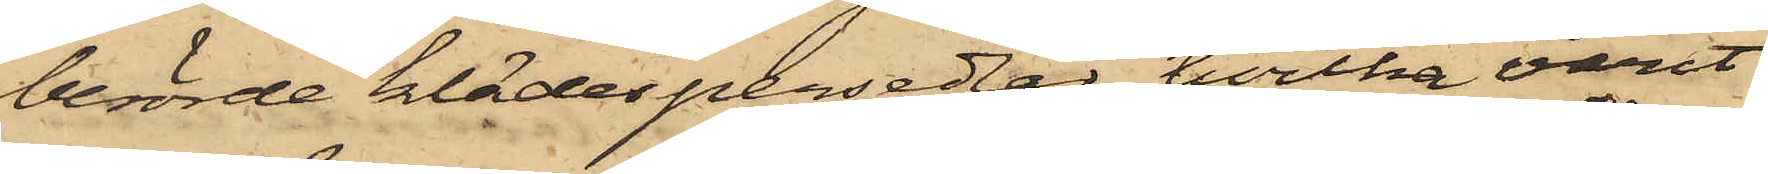berörde klädespersedlar, hvilka varit
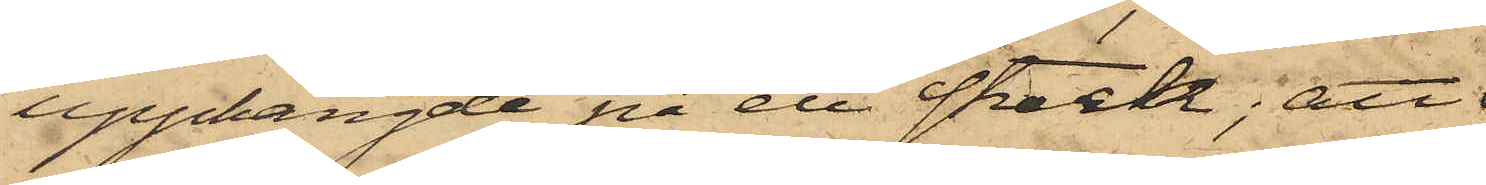upphängde på ett streck; att
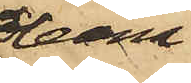Oleana
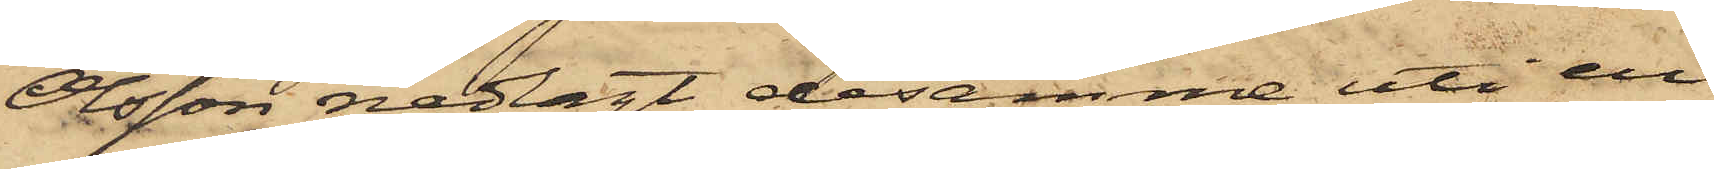Olsson nedlagt desamme uti en
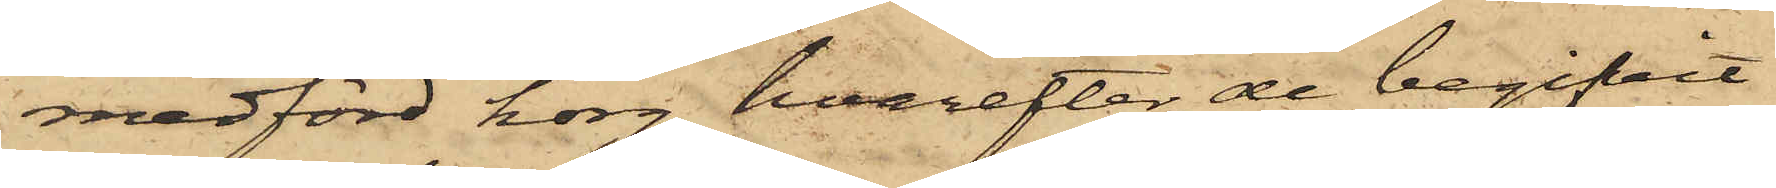medförd korg, hvarefter de begifvit
